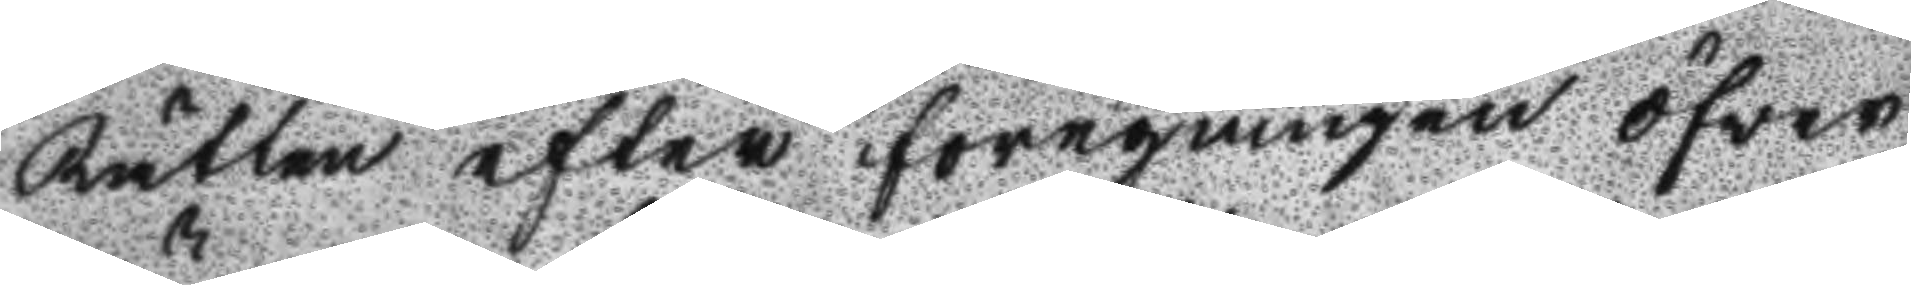Rätten efter föregången öfwer
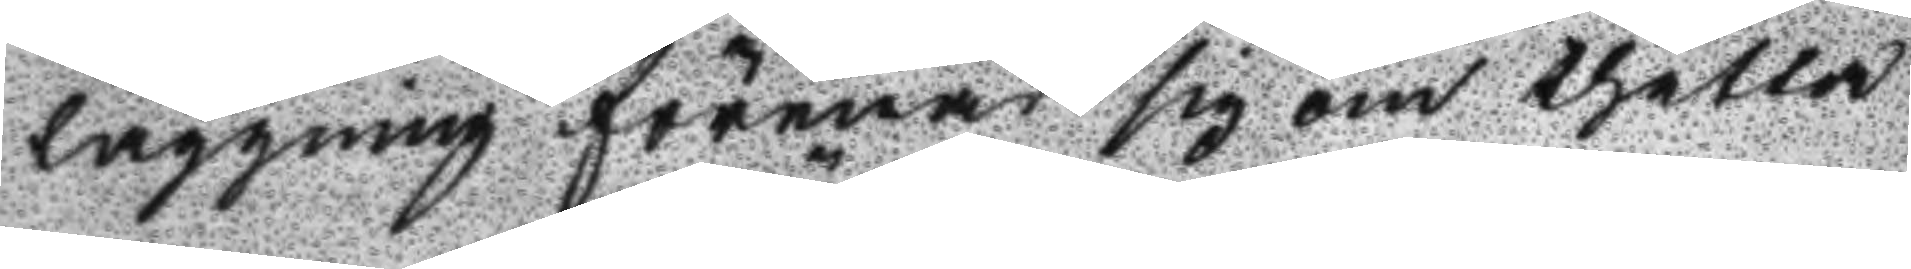läggning förenade sig om thetta
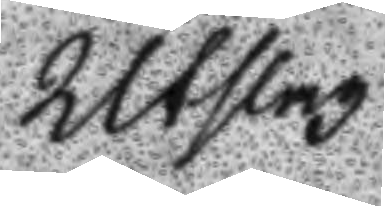Utslag.
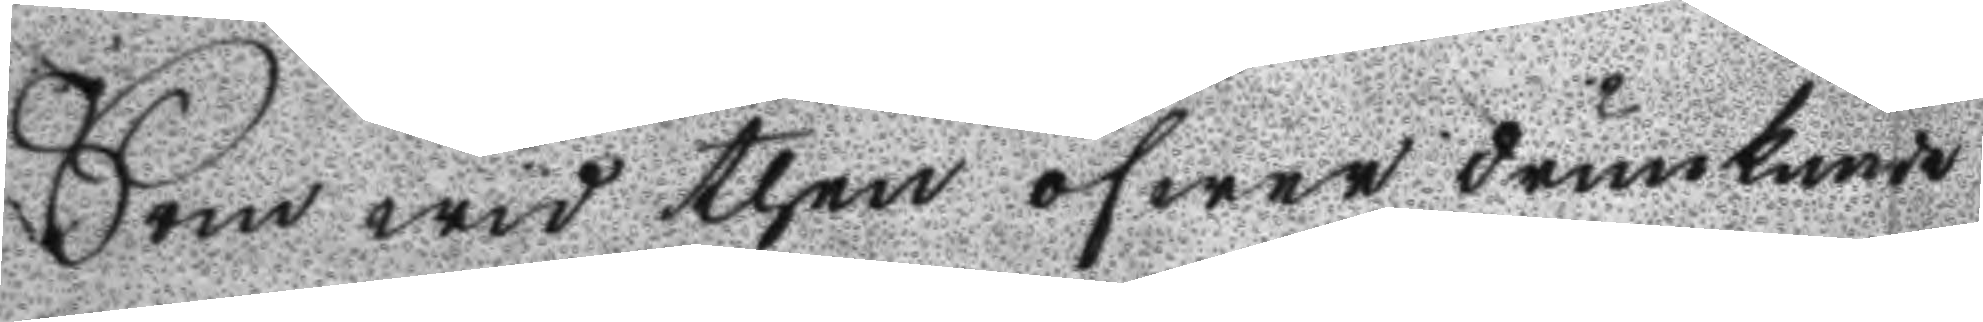Som wid then öfwer drunknade
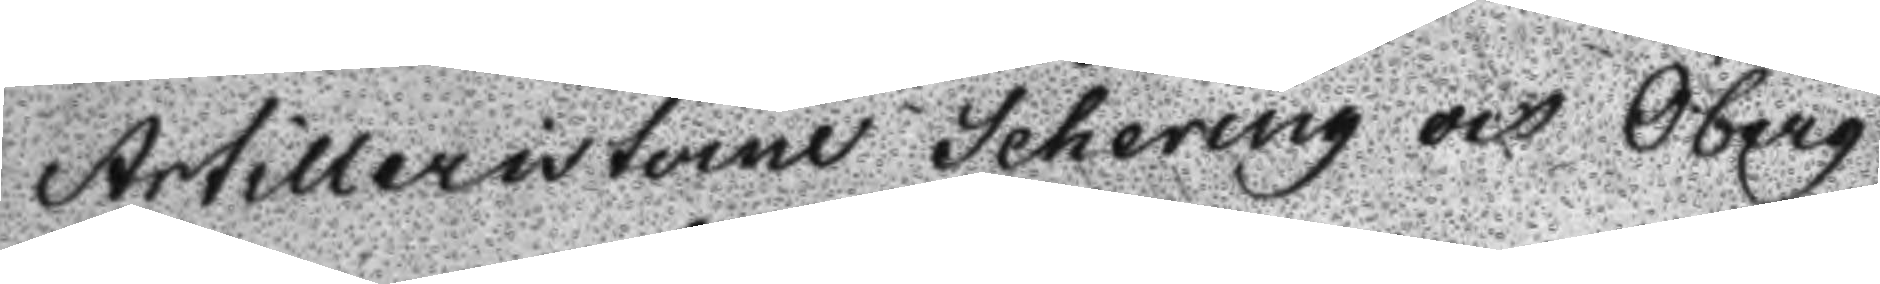Artilleristerne Schering och Öberg
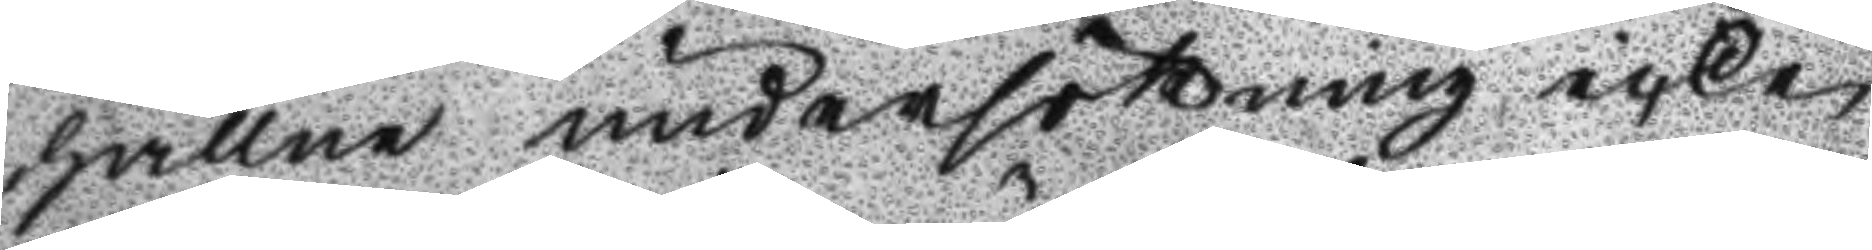hållne undersökning icke
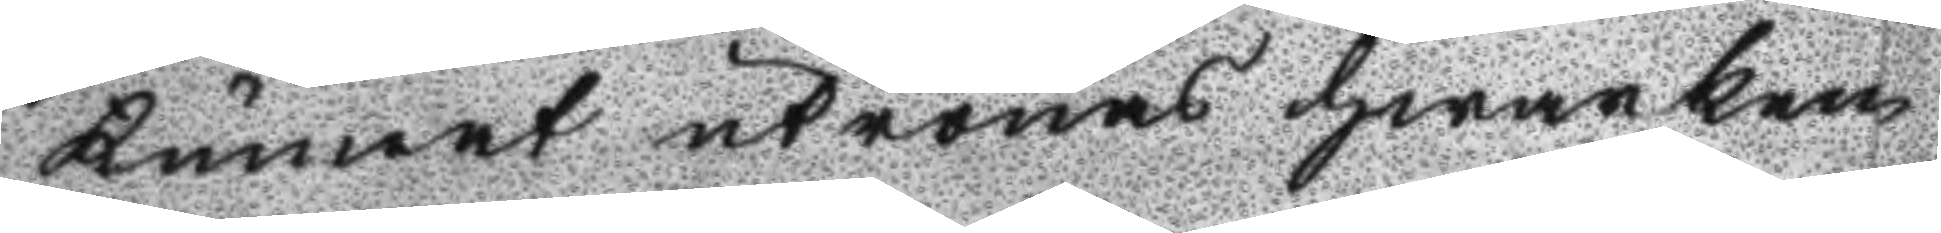kunnat utrönas hwarken
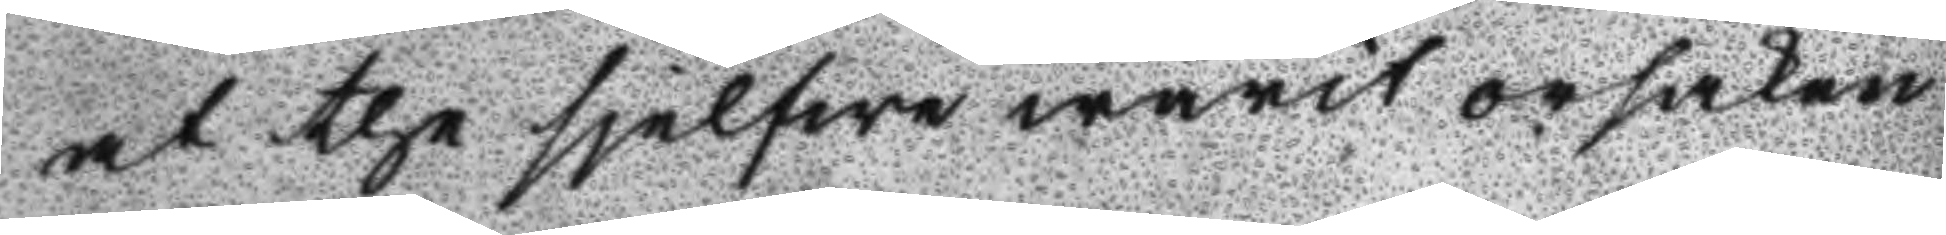at the sjelfwa warit orsaken
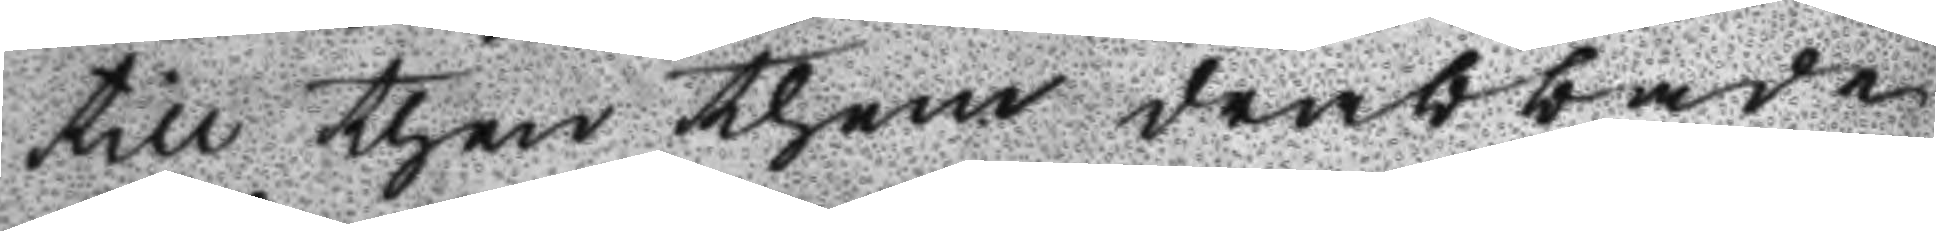till then them drabbade
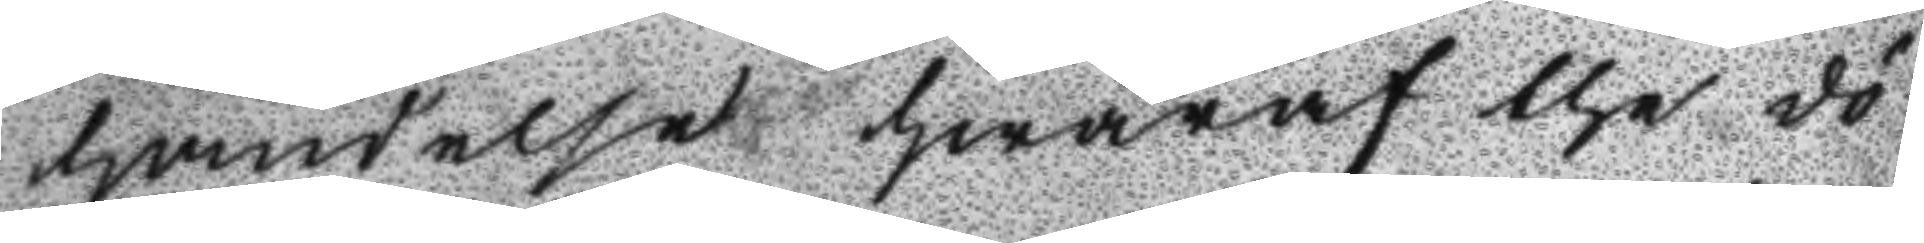händelse hwaraf the dö
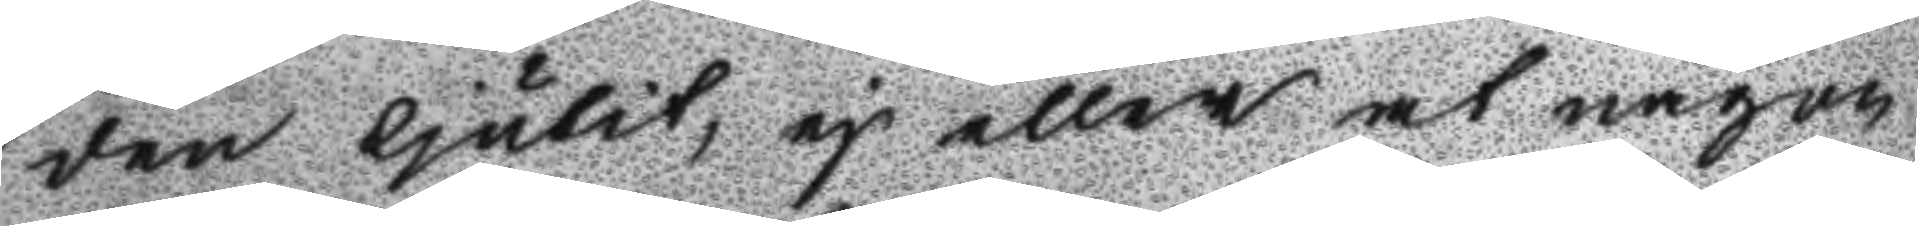den ljudit, ej eller at någon
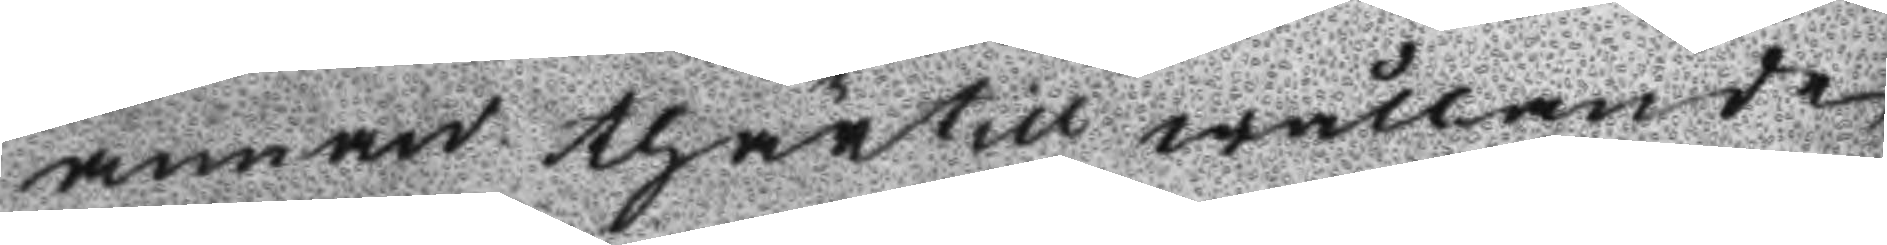annan thärtill wållande
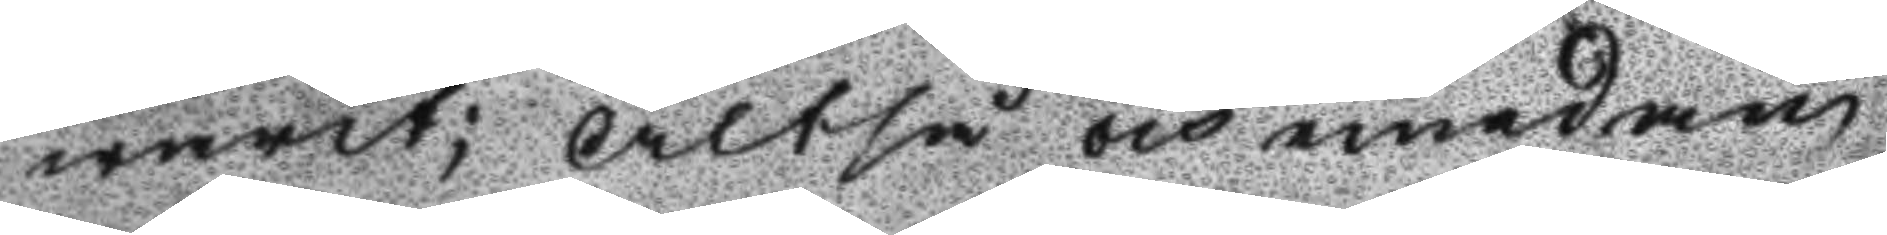warit; Altså och emedan
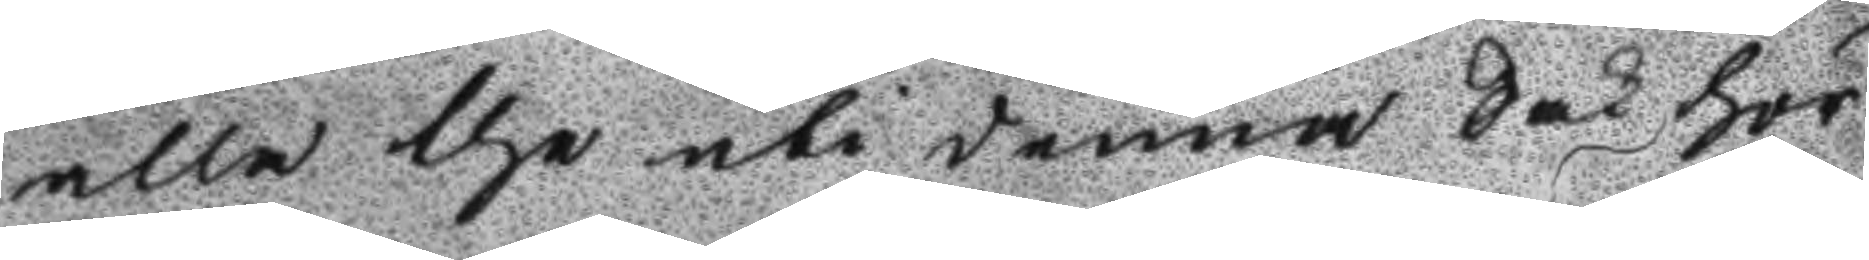akka the uti denna Sak hör
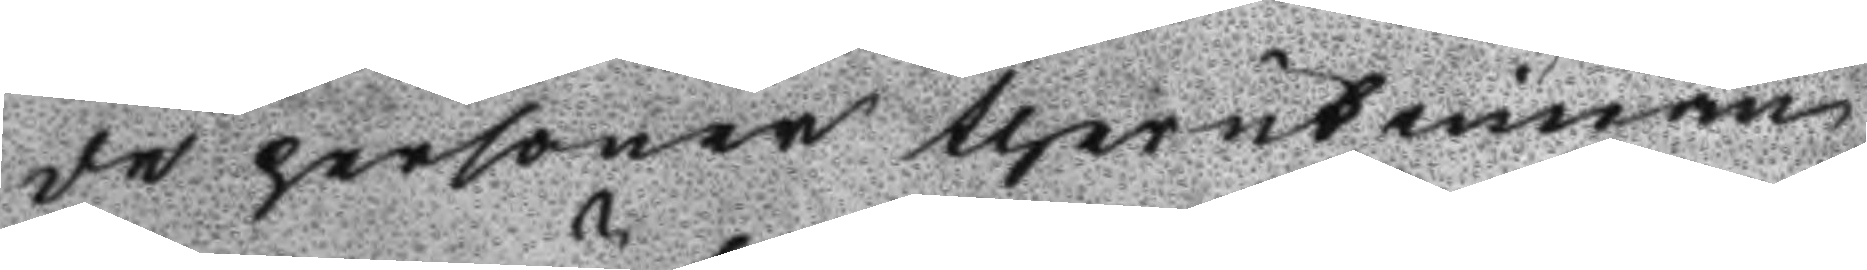de personer therutinnan
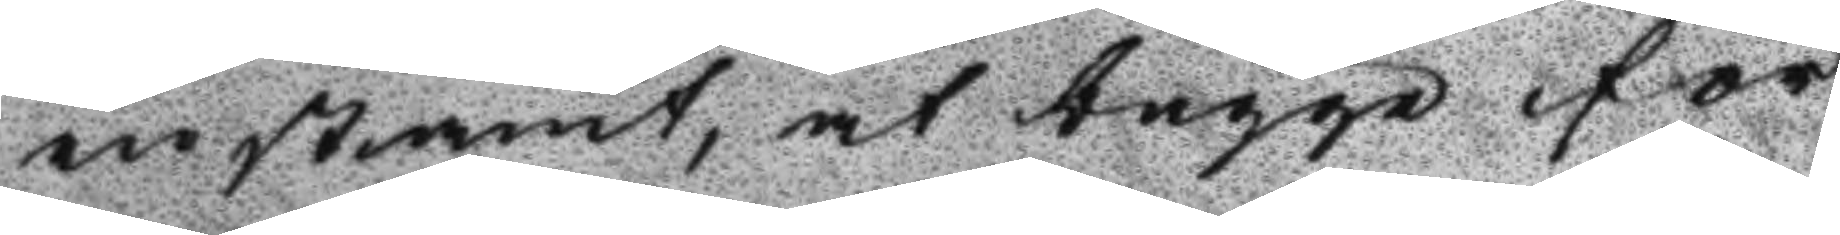instämt, at bägge för
